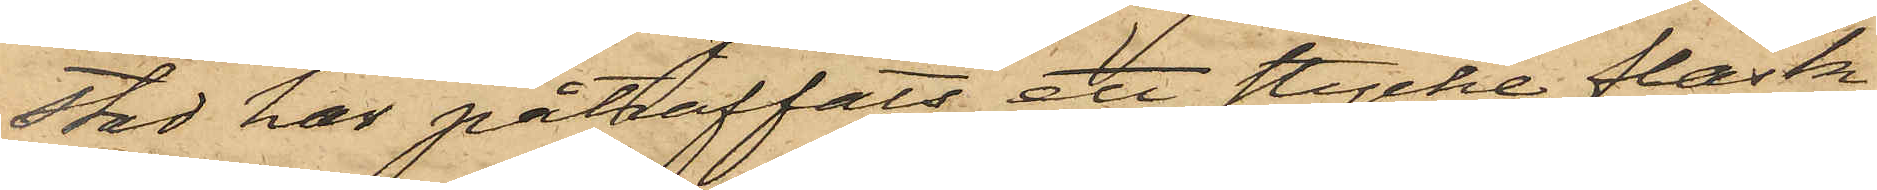stad har påträffats att stycke fläsk
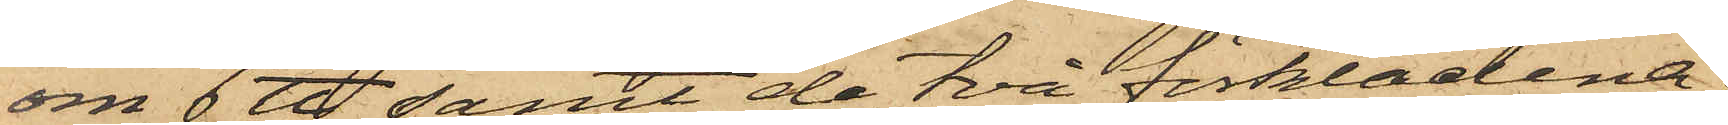om 6 ℔ samt de två förklädena.
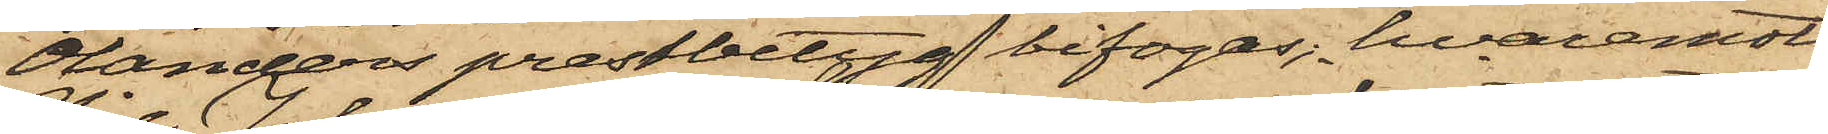Olanders prestbetyg bifogas, hvaremot
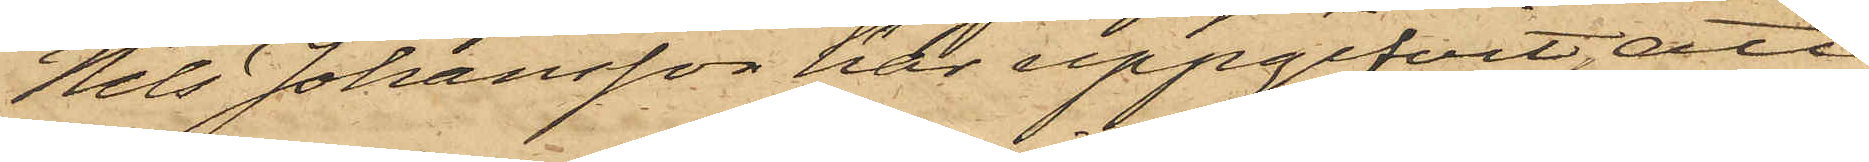Nils Johansson har uppgifvit, att
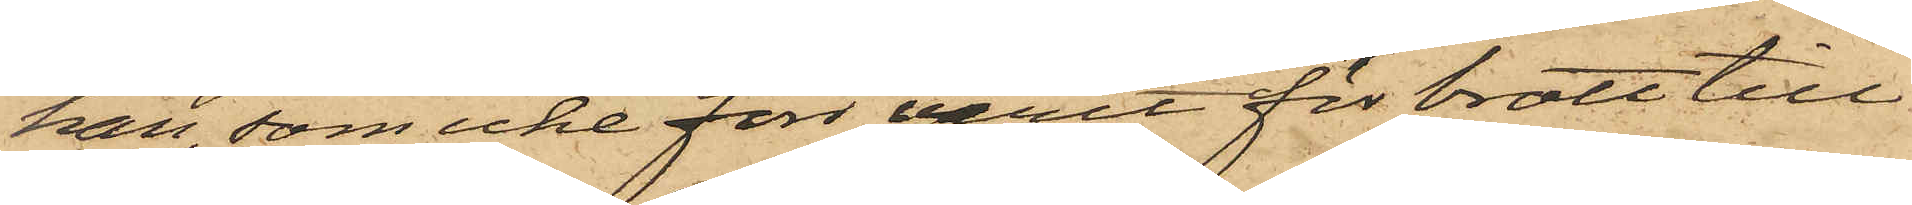han, som icke förr varit för brott till¬
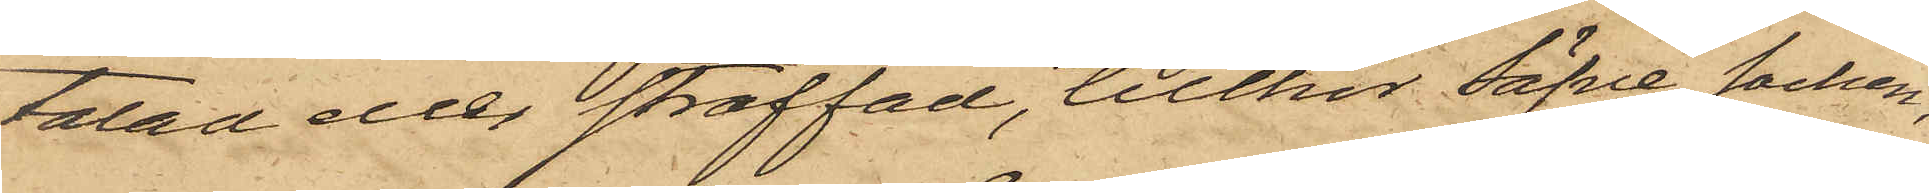talad eller straffad, tillhör Säfve socken;
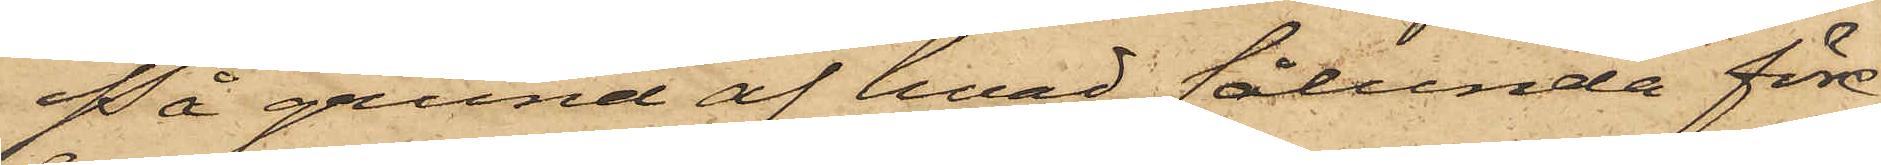På grund af hvad sålunda före¬
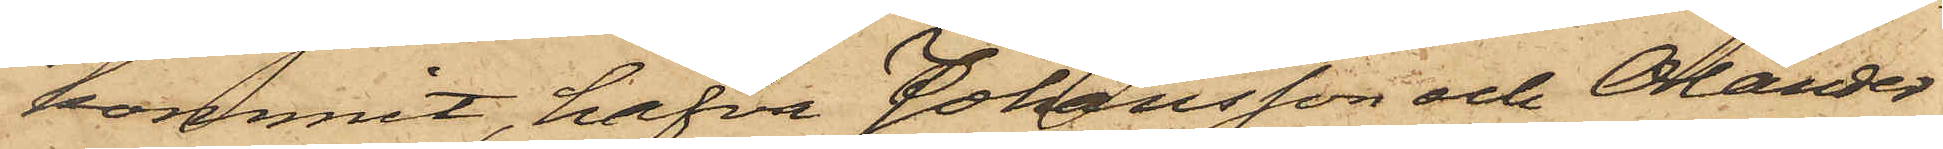kommit, hafva Johansson och Olander
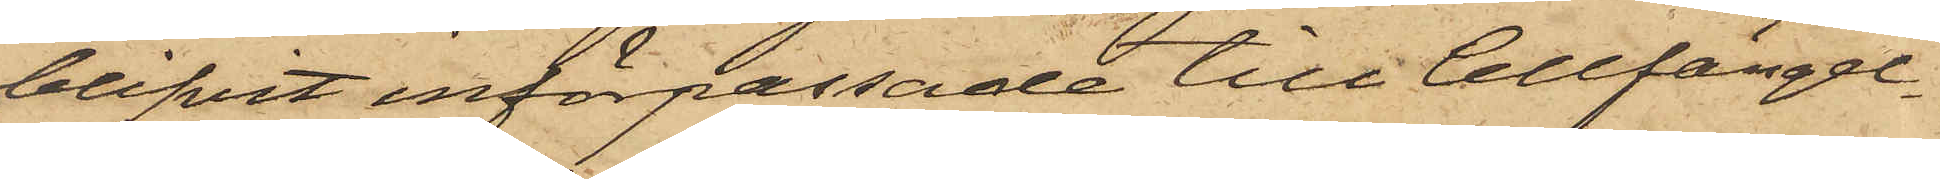blifvit införpassade till Cellfängel¬
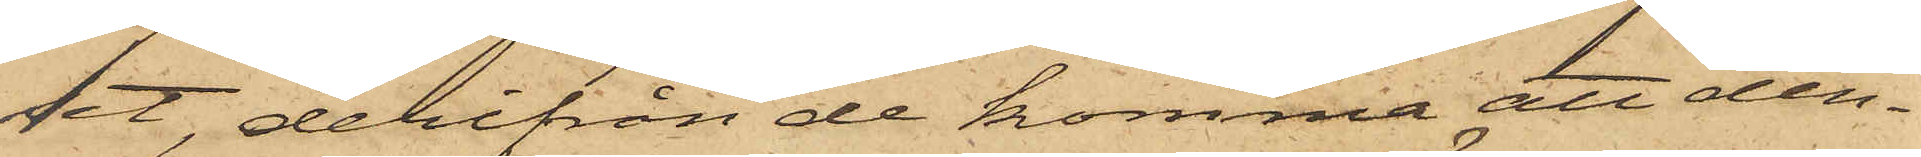set, derifrån de komma att den¬
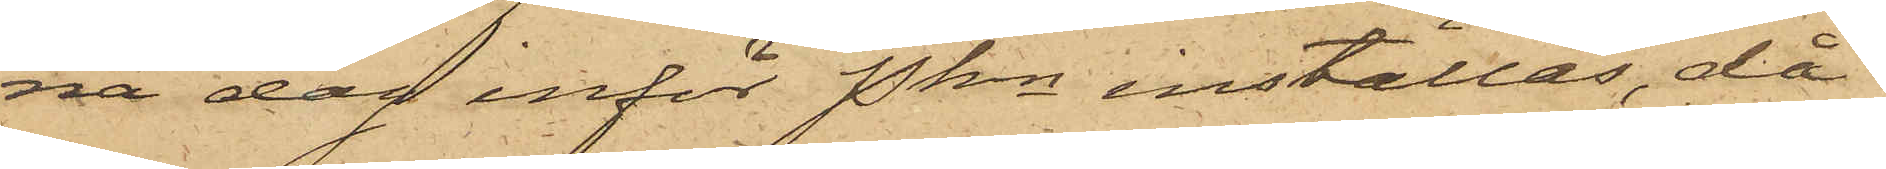na dag inför Pkn inställas, då
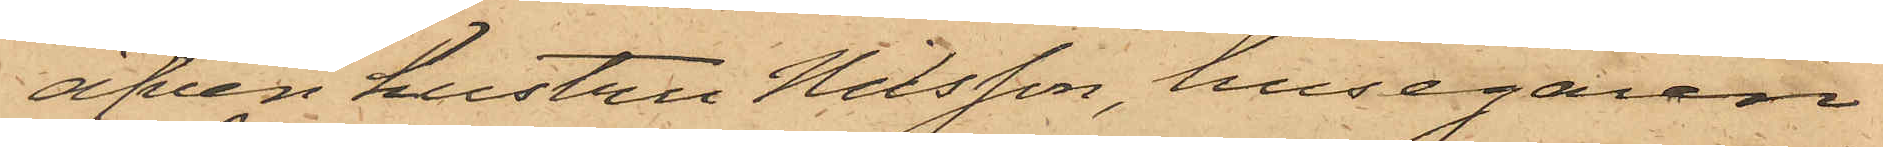äfven hustru Nilsson, husegaren
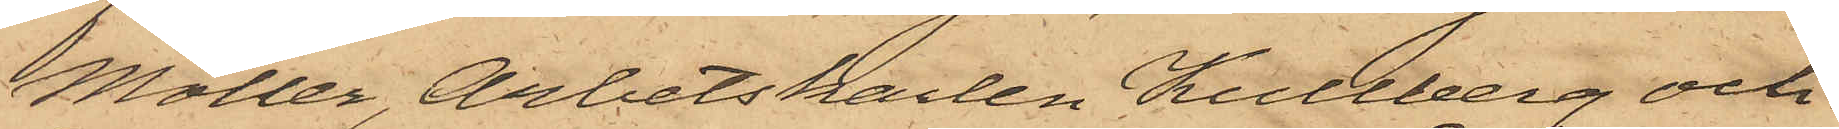Möller, Arbetskarlen Kullberg och
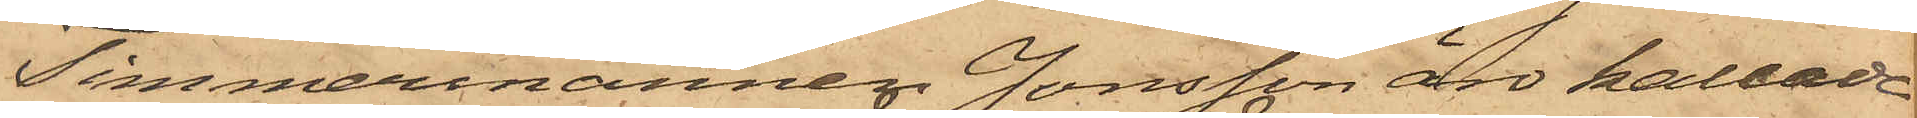Timmermannen Jonsson äro kallade
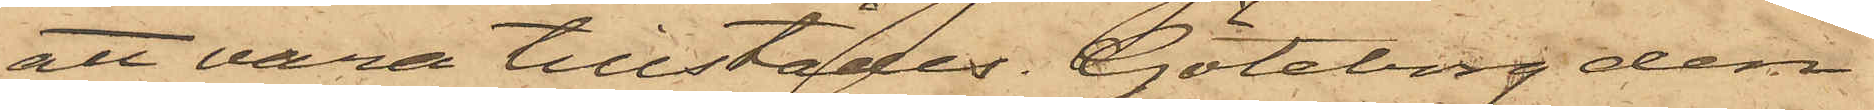att vara tillstädes. Göteborg den
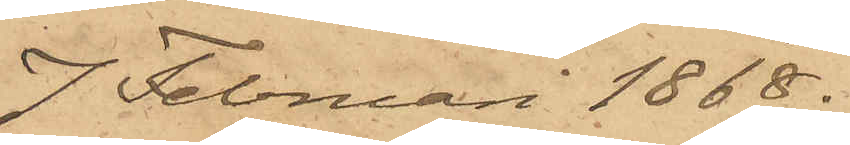7 Februari 1868.
